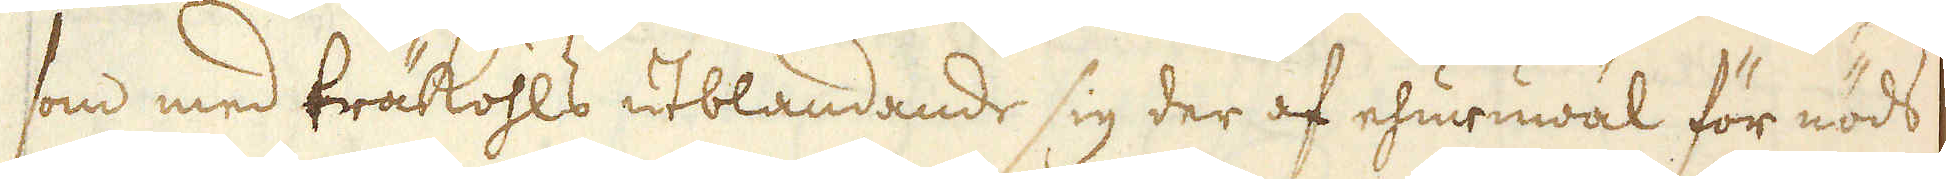som med träkohls utblandande sig der af ehuruwäl för nöds
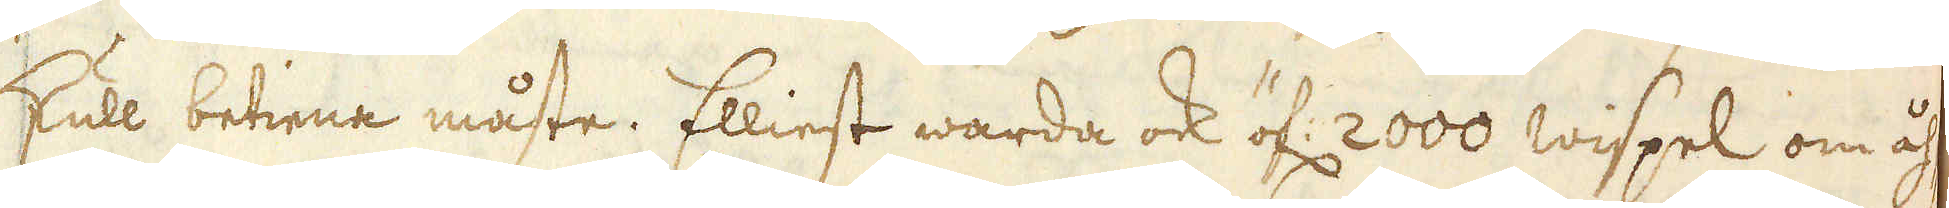skull betiena måste. Elliest warda ock öf: 2000 wispel om åh-
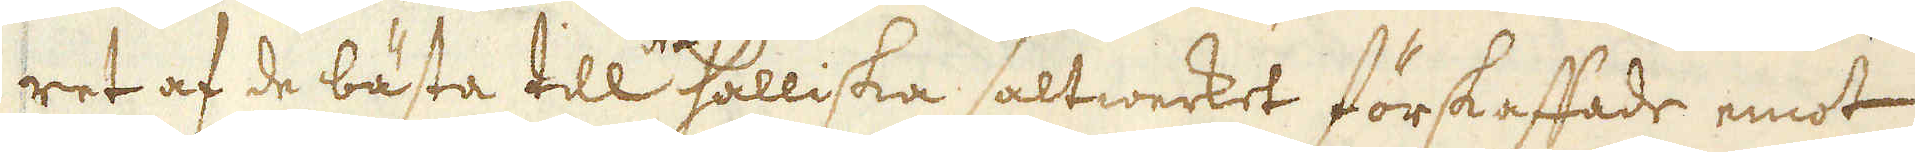ret af de bästa till det Halliska saltwerket förskaffade emot
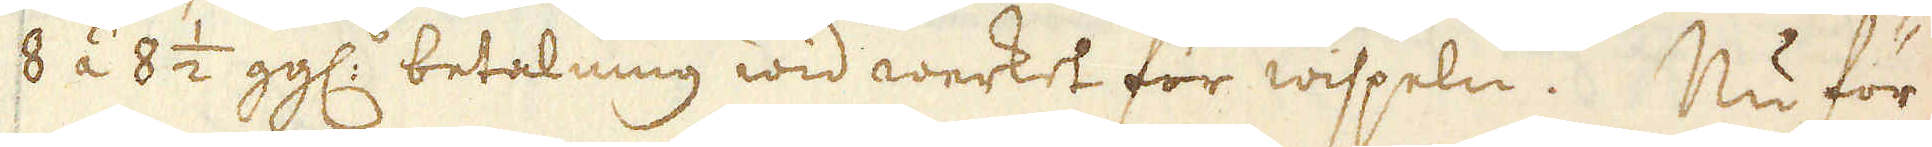8 á 8 1/2 gg:s betalning wid werket för wispeln. Nu för
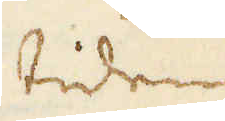tiden
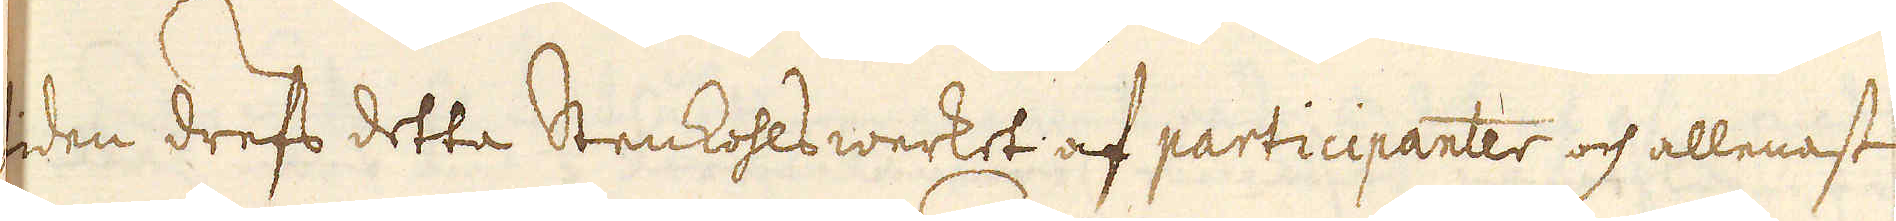tiden drefs detta Stenkohlswerket af participanter och allenast
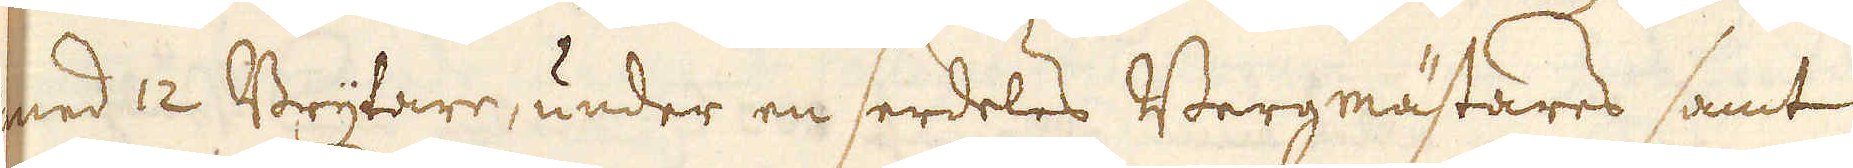med 12 Brytare, under en serdeles Bergmästares samt
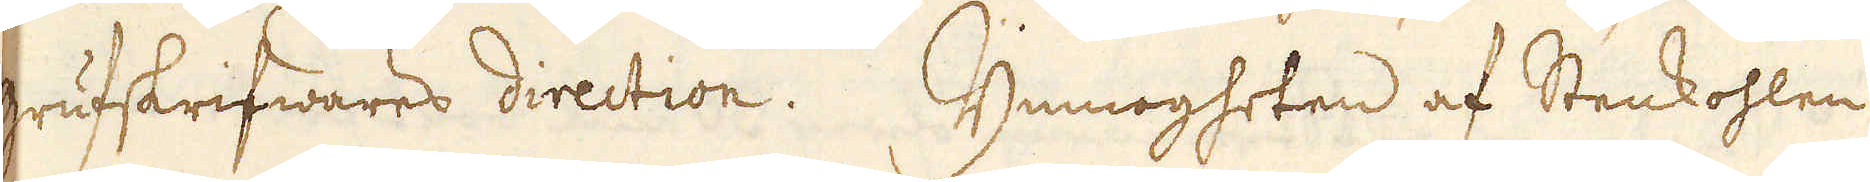grufskrifwares direction. Ymnogheten af Stenkohlen
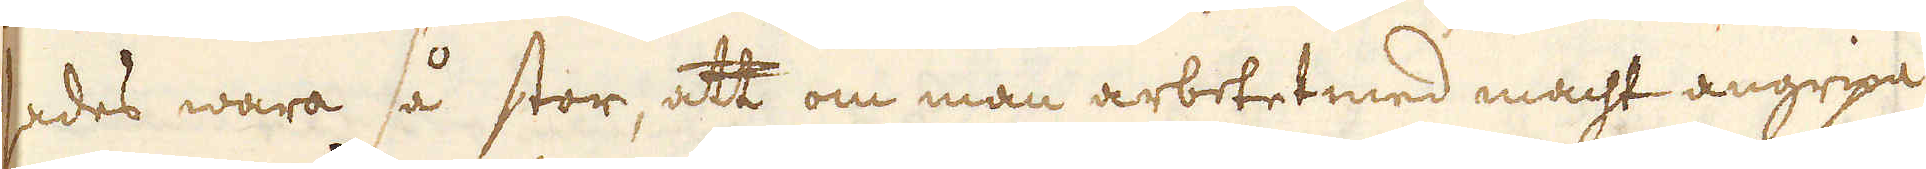sades wara så stor, att om man arbetet med macht angripa
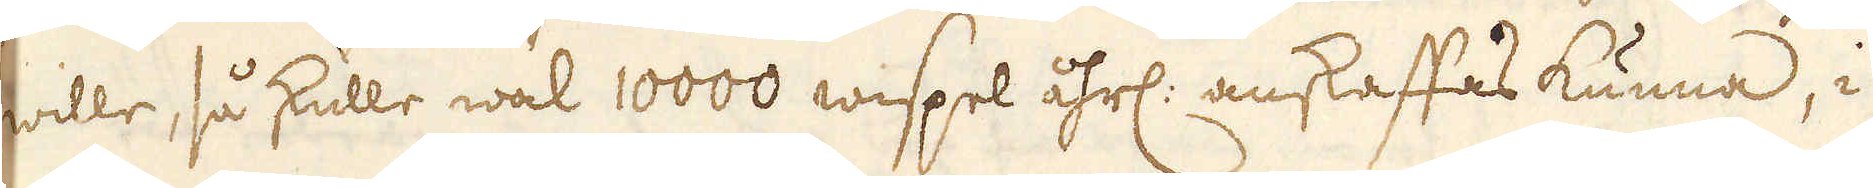wille, så skulle wäl 10000 wispel åhrl: anskaffas kunna, i
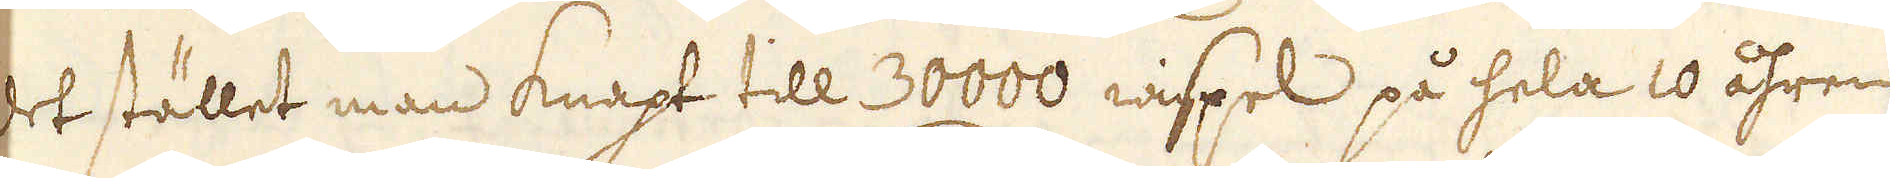det stället man knapt till 30000 wispel på hela 10 åhren
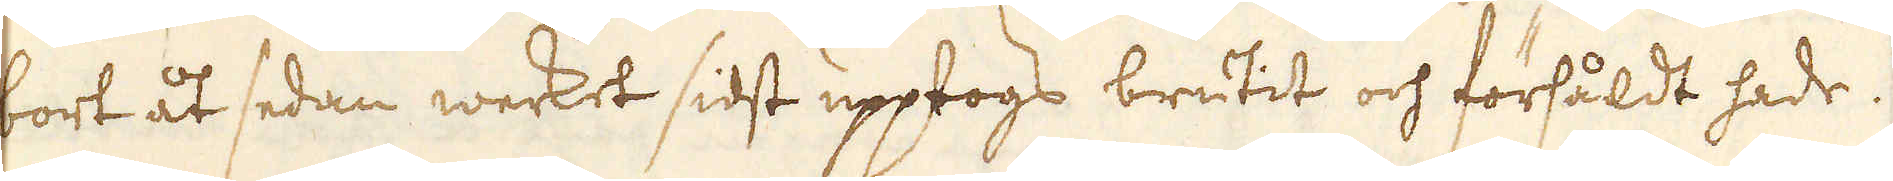bort åt sedan werket sidst upptogs brutit och försåldt hade.
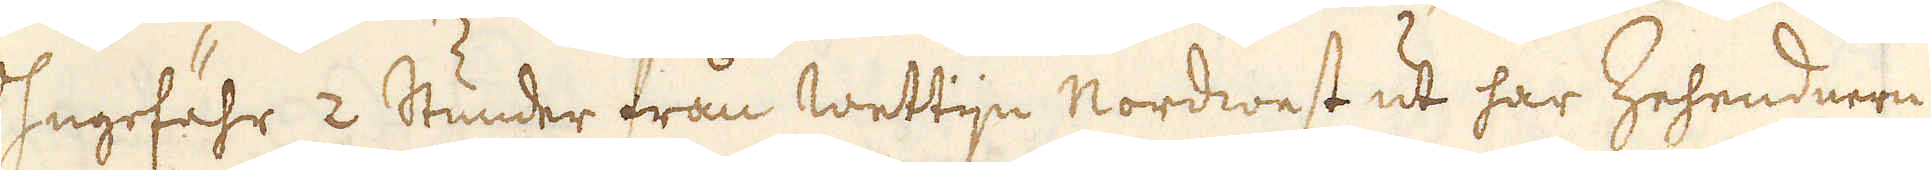Ongefähr 2 Stunder trån Wettijn Nordwest ut har Zehendnern
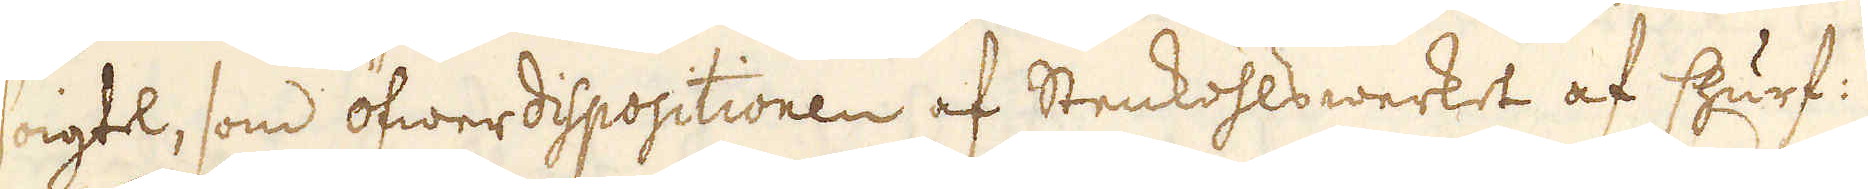Voigtel, som öfwerdispositionen af Stenkohlswerket af Churf:
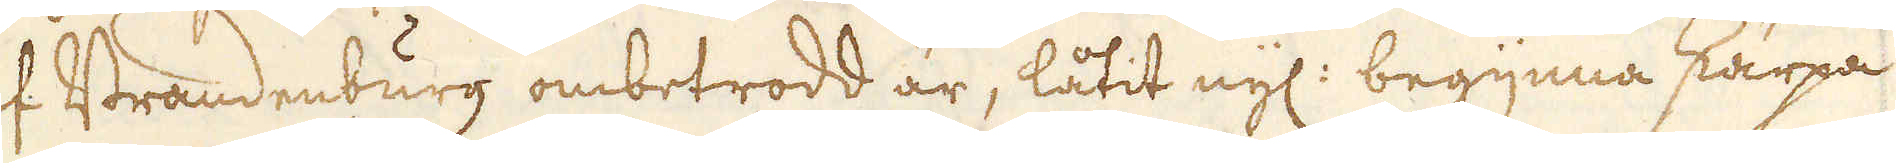af Brandenburg ombetrodd är, låtit nyl: begynna skärpa
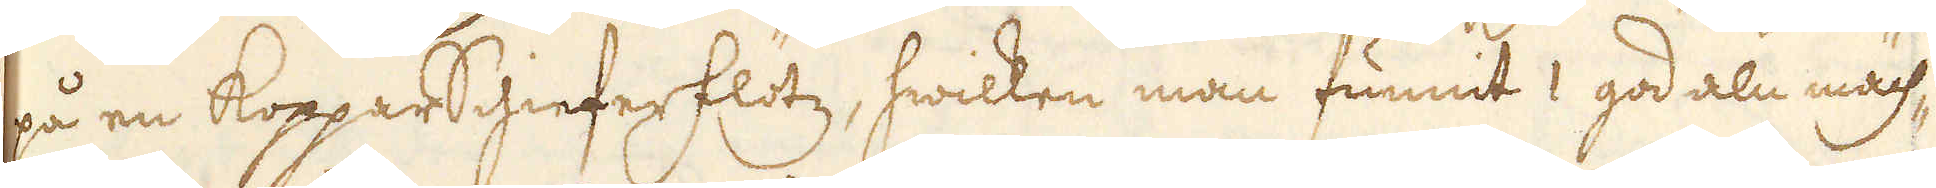på en KopparSchieferflötz, hwilken man funnit 1 god aln mäch-
